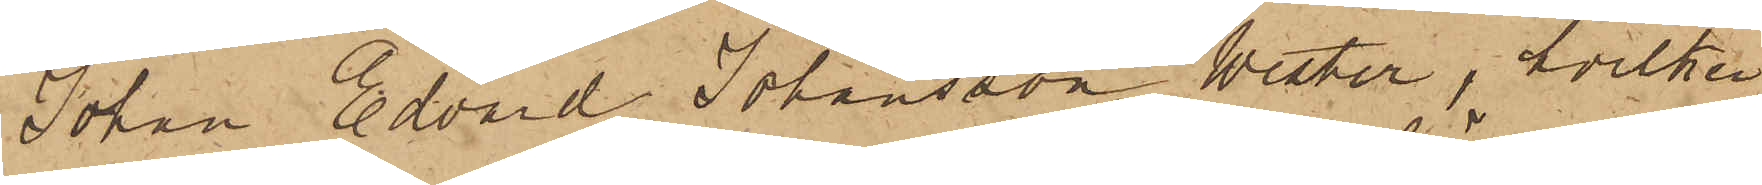Johan Edvard Johansson Wester, hvilken
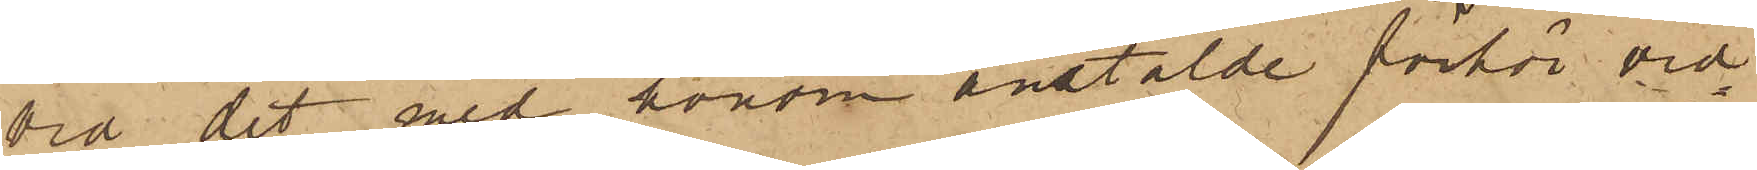vid det med honom anstälde förhör vid¬
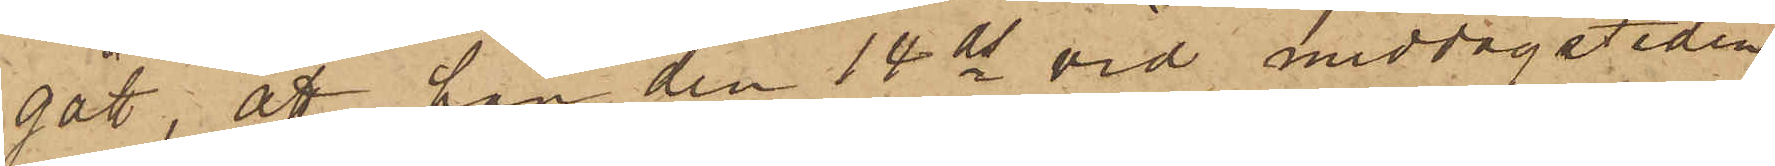gått, att han den 14 ds vid middagstiden
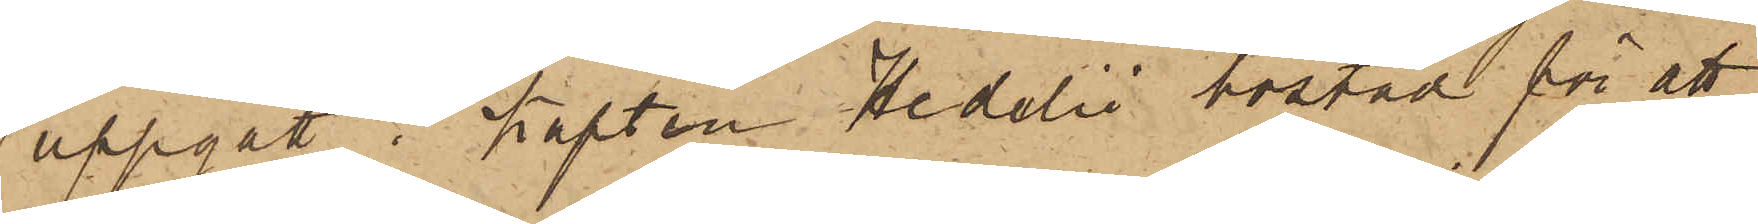uppgått i Kapten Hedelii bostad för att
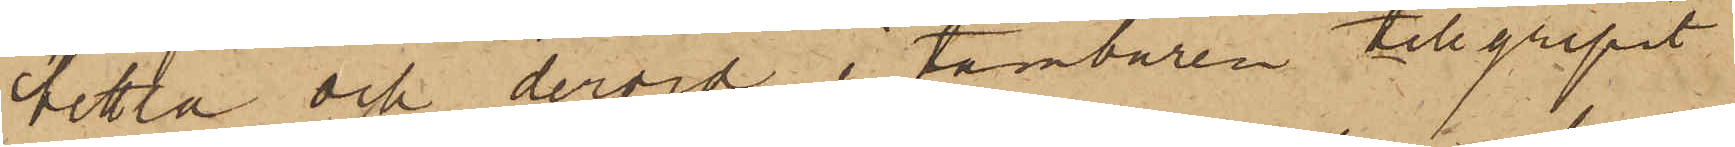bettla och dervid i tamburen tillgripit
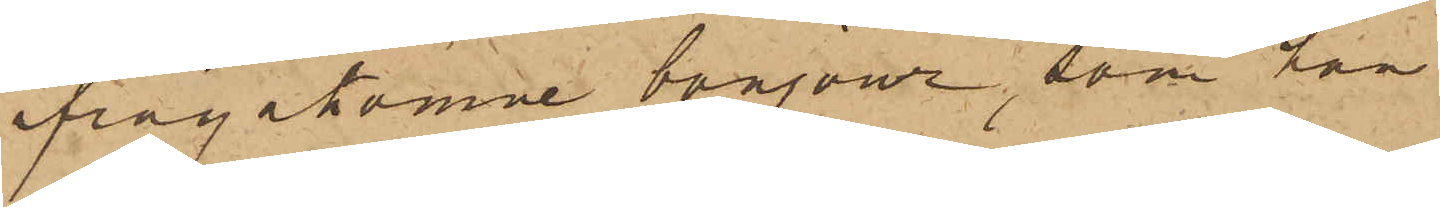ifrågakomne bonjour, som han
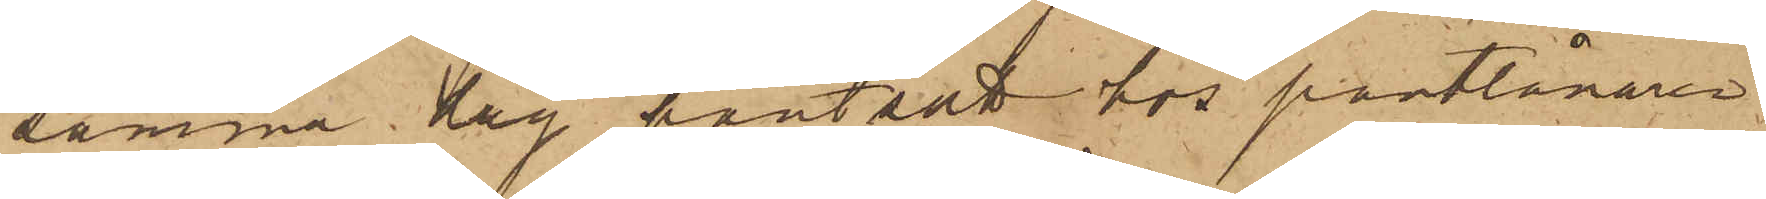samma dag pantsatt hos pantlånaren
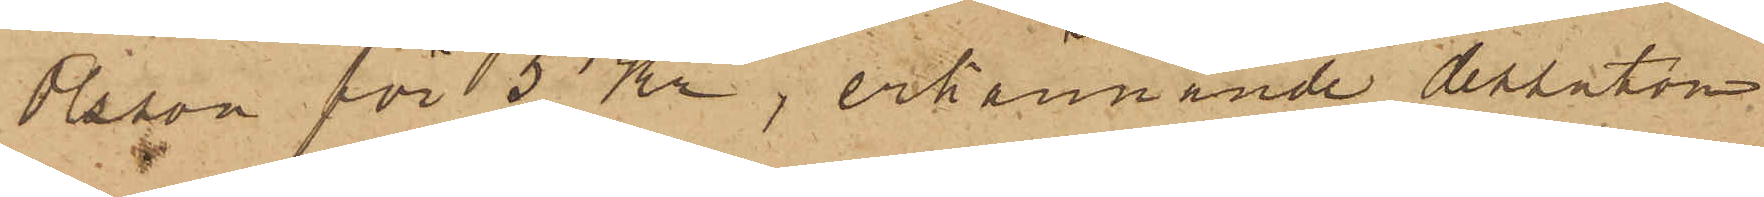Olsson för 5 Kr, erkännande dessutom
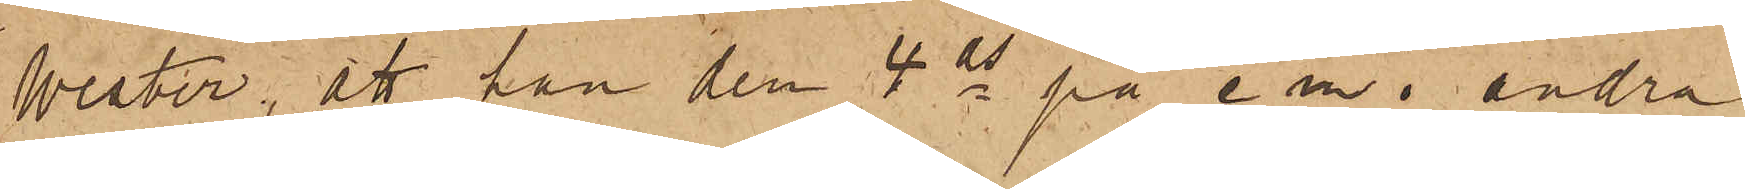Wester, att han den 4 ds på e m i andra
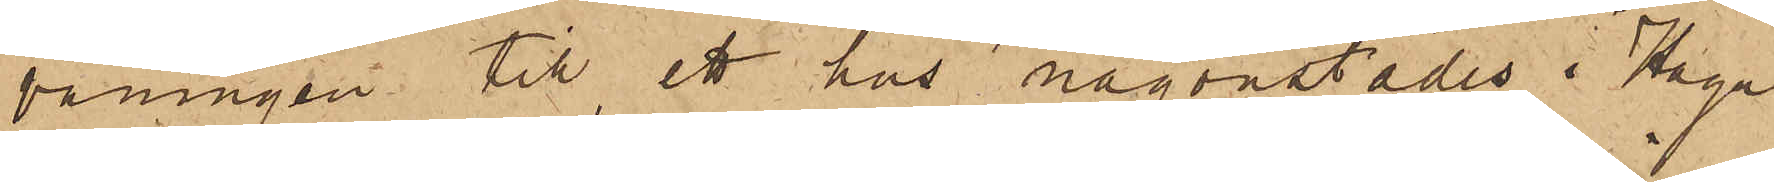våningen till ett hus någonstädes i Haga
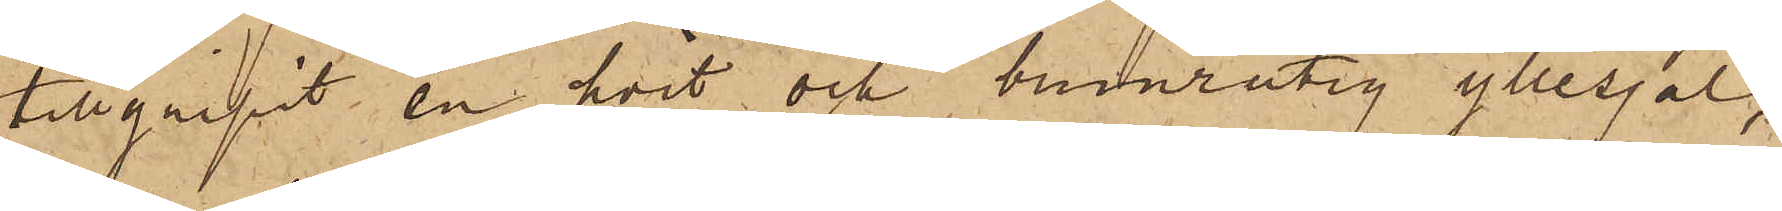tillgripit en hvit och brunrutig yllesjal,
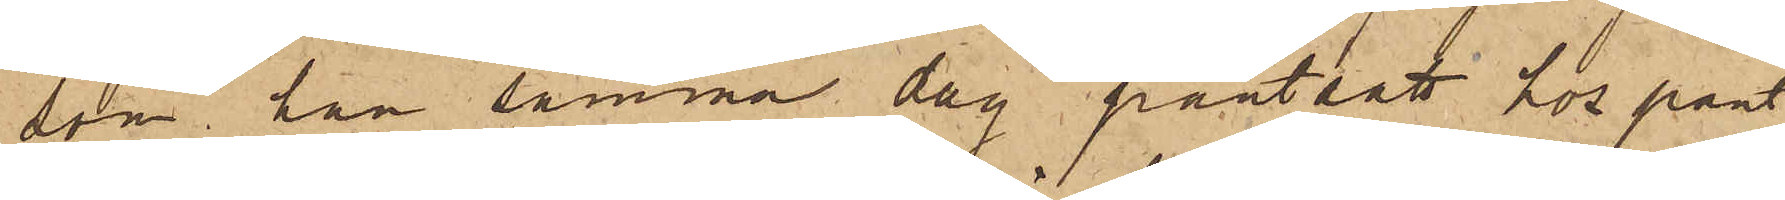som han samma dag pantsatt hos pant¬
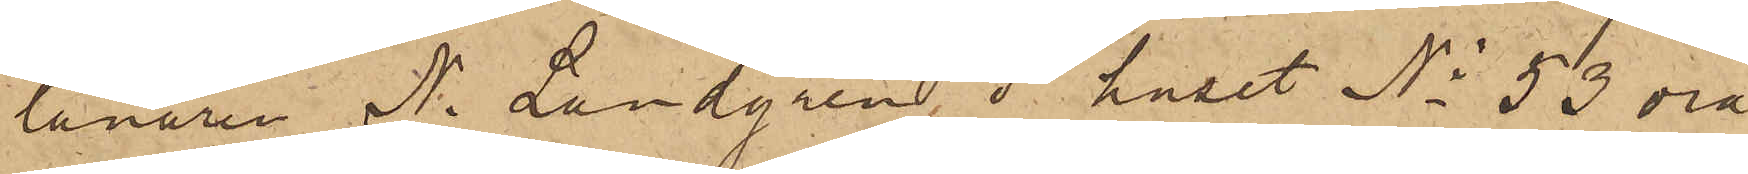lånaren N. Landgren, i huset No 53 vid
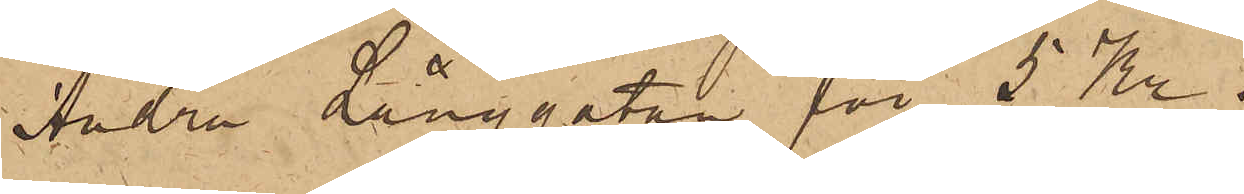Andra Långgatan för 5 Kr.
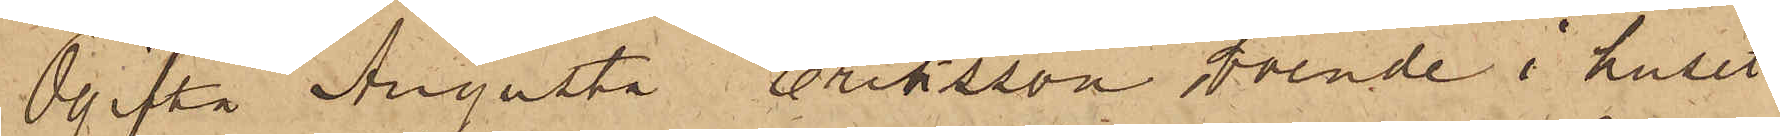Ogifta Augusta Eriksson boende i huset
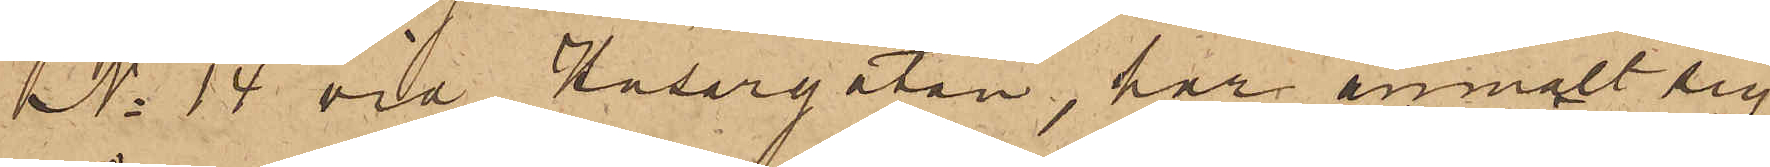No 14 vid Husargatan, har anmält sig
